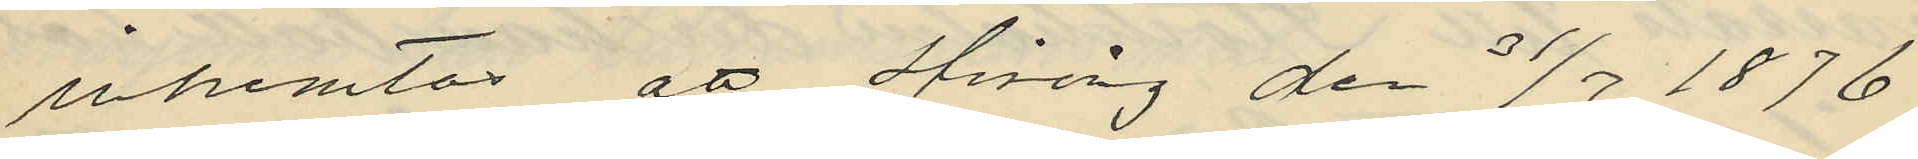inhemtas att Hising den 31/7 1876
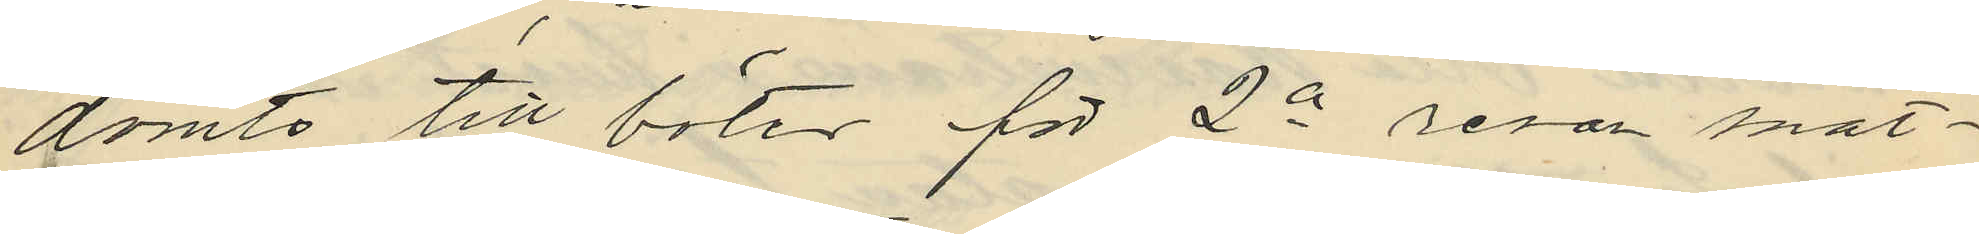dömts till böter för 2a resan snat¬
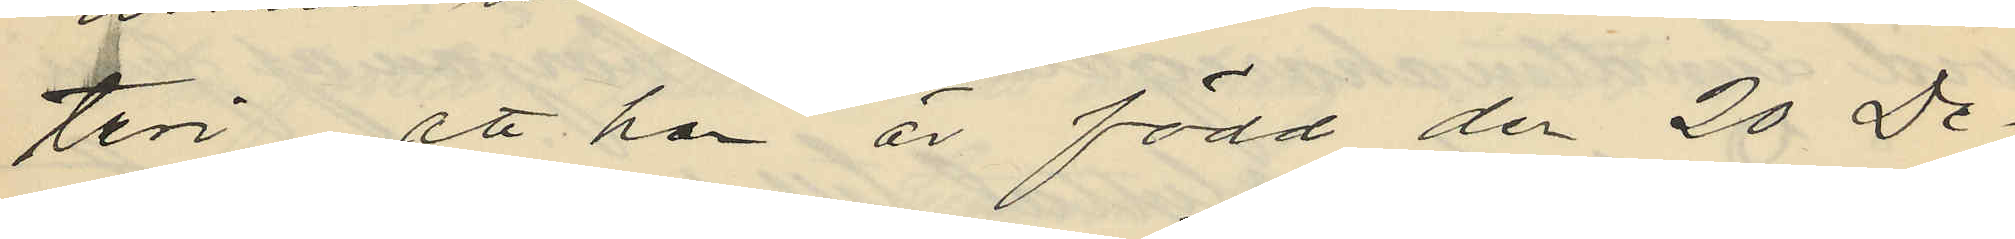teri att han är född den 20 De
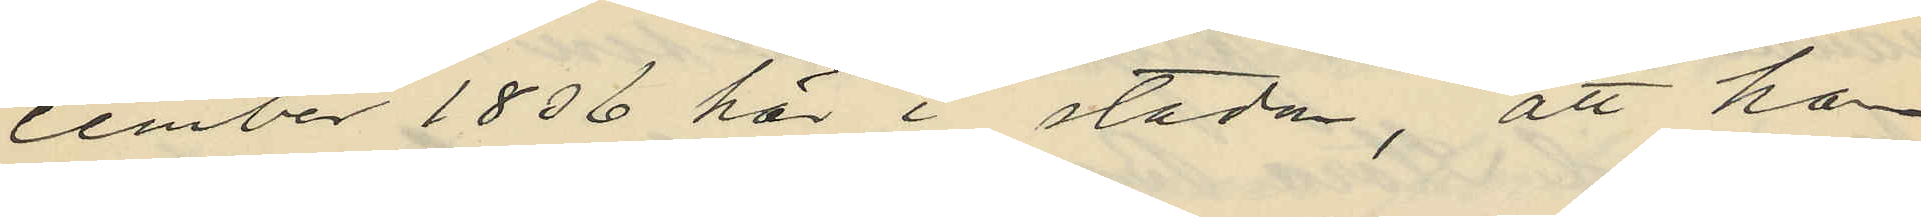cember 1836 här i staden, att han
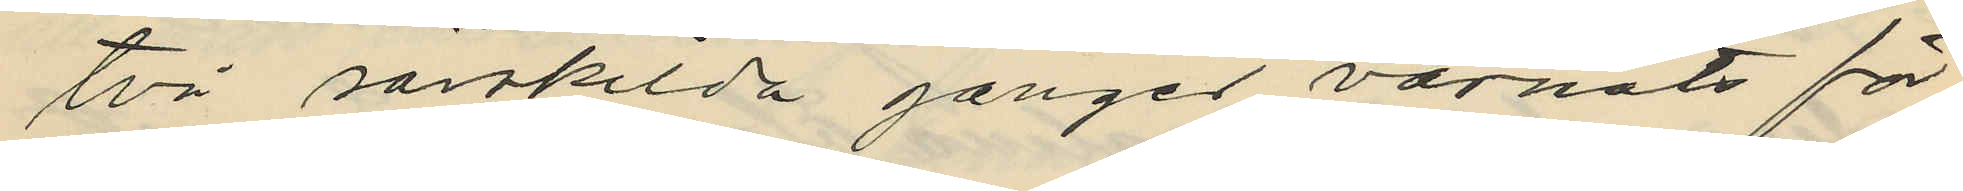två särskilda gånger varnats för
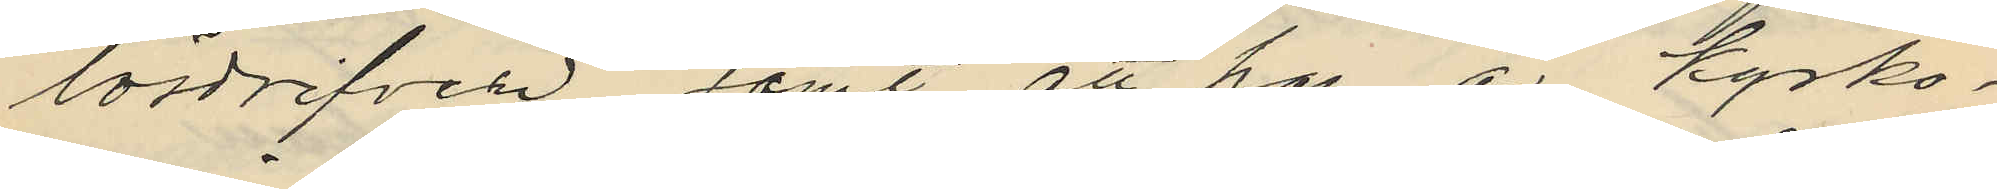lösdrifveri samt att han är kyrko¬
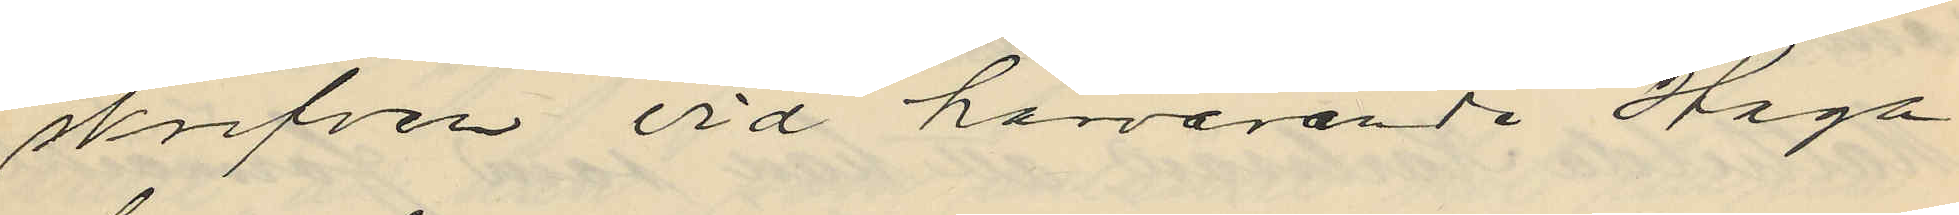skrifven vid härvarande Haga
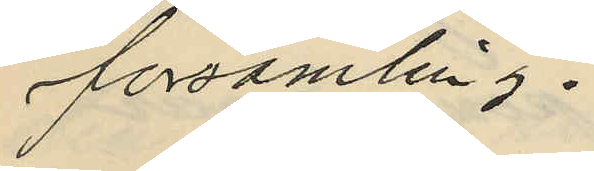församling.
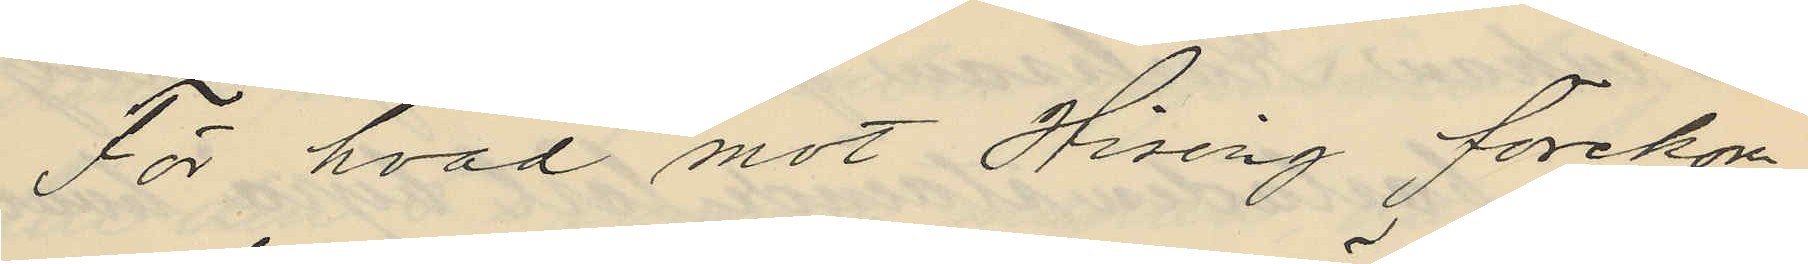För hvad mot Hising förekom
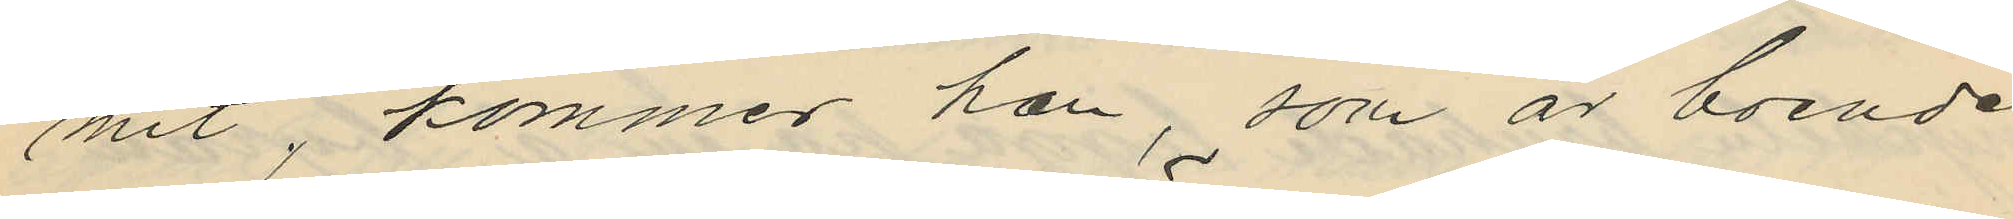mit, kommer han, som är boende
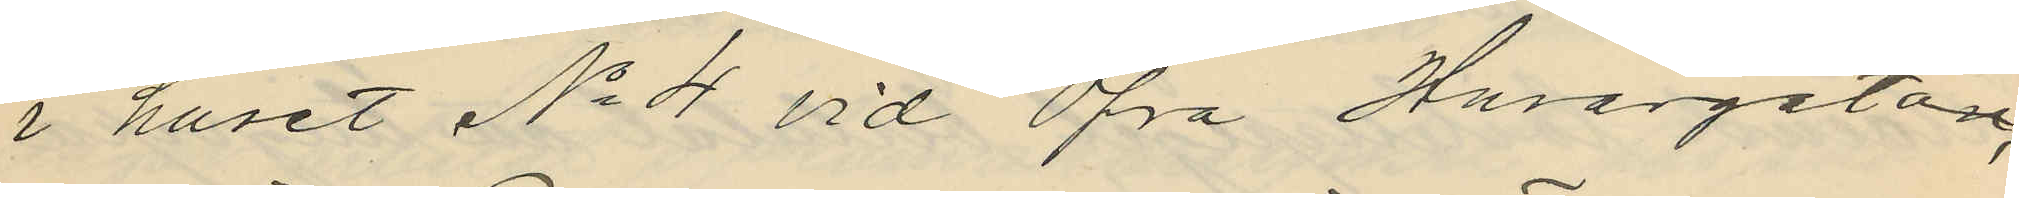i huset No 4 vid Öfra Husargatan,
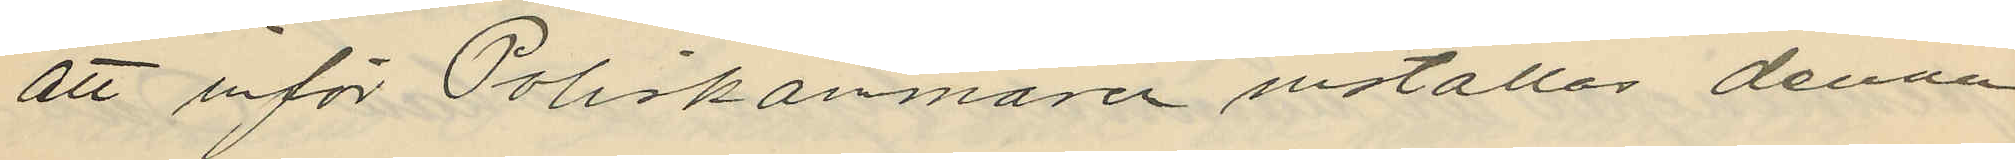att inför Poliskamnaren inställas denna
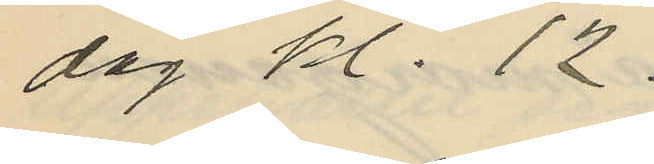dag kl. 12.
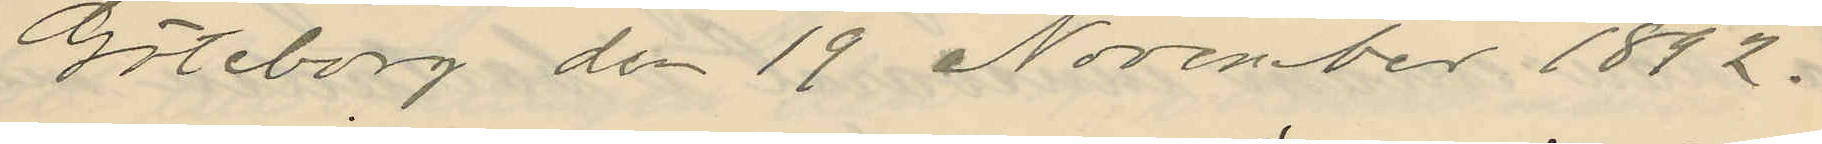Göteborg den 19 November 1882.
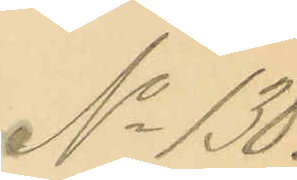No 130.
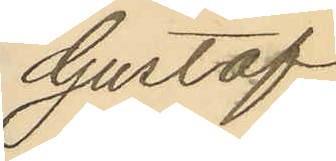Gustaf
